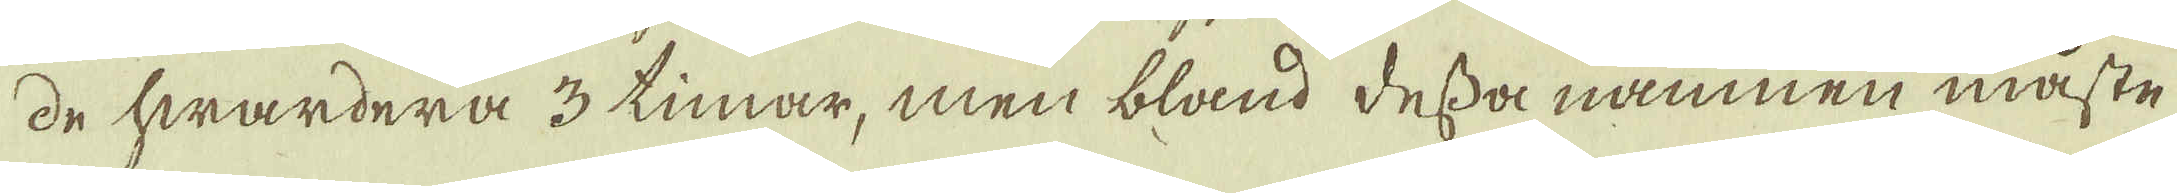de hwardera 3 timar, men bland dessa namnen måste
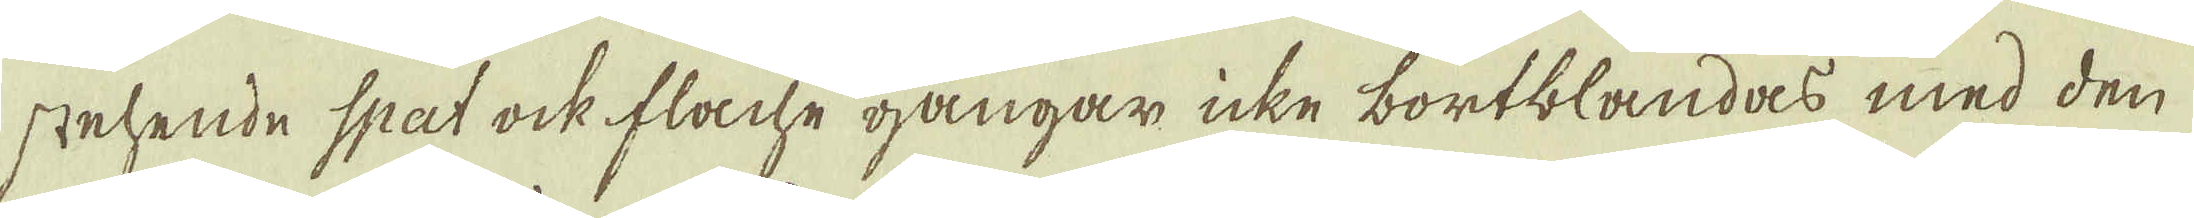stehende spat ock flache gångar icke bortblandas med den
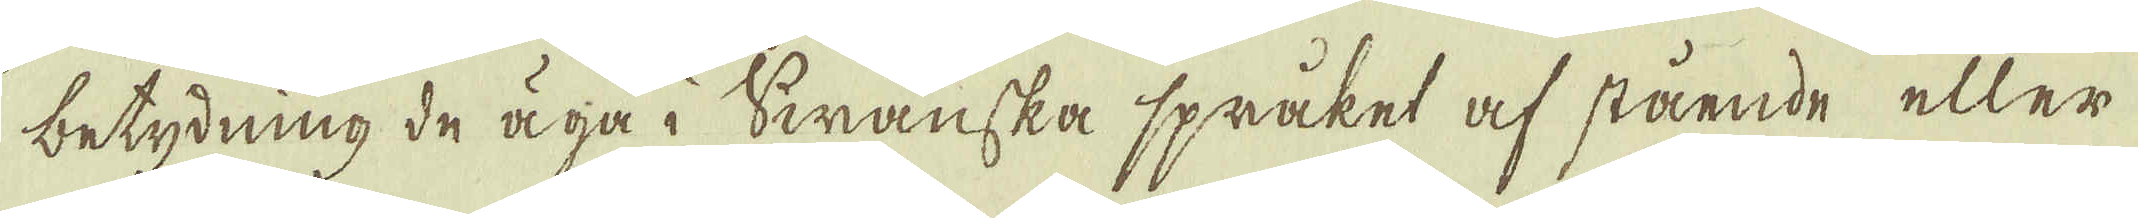betydning de äga i Swänska språket af stående eller
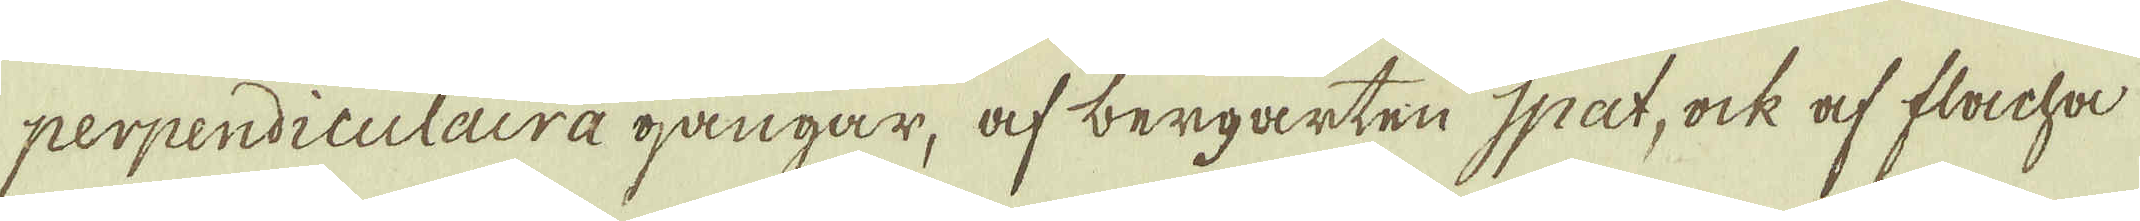perpendiculaira gångar, af bergarten Spat, ock af flacha
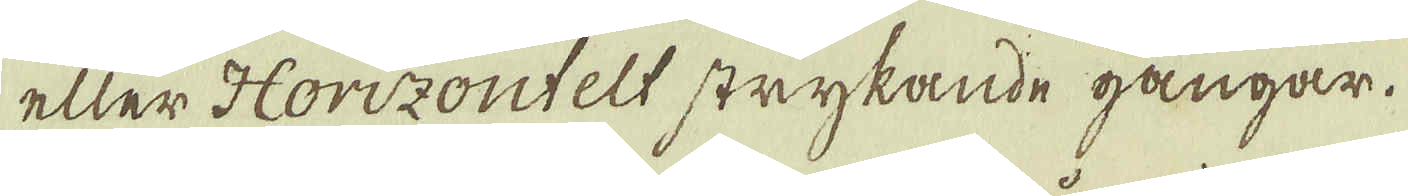eller Horizontelt strykande gångar.
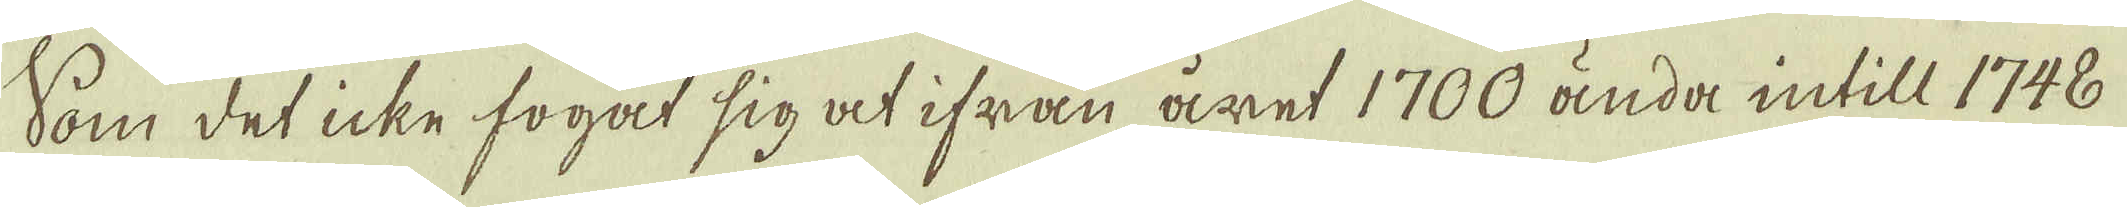Som det icke fogat sig at ifrån året 1700 ända intill 1748
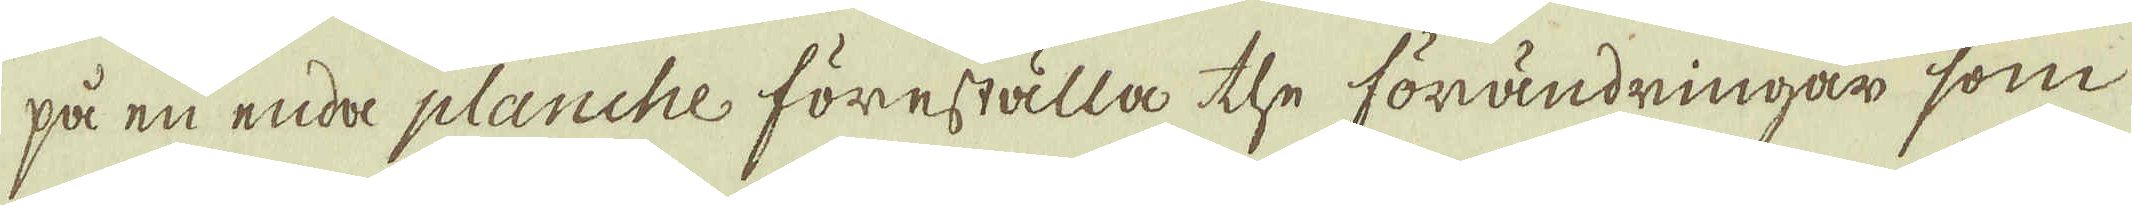på en enda planche föreställa the förändringar som
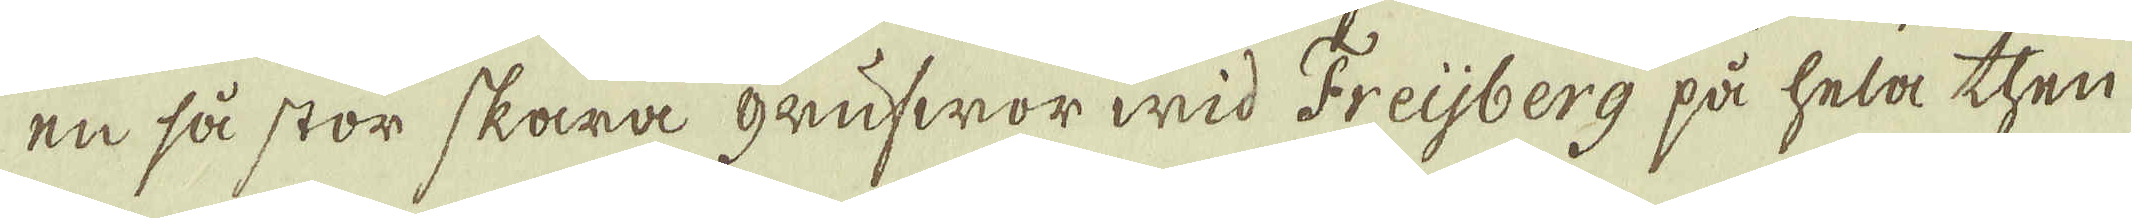en så stor skara gaufwor wid Freijberg på hela then
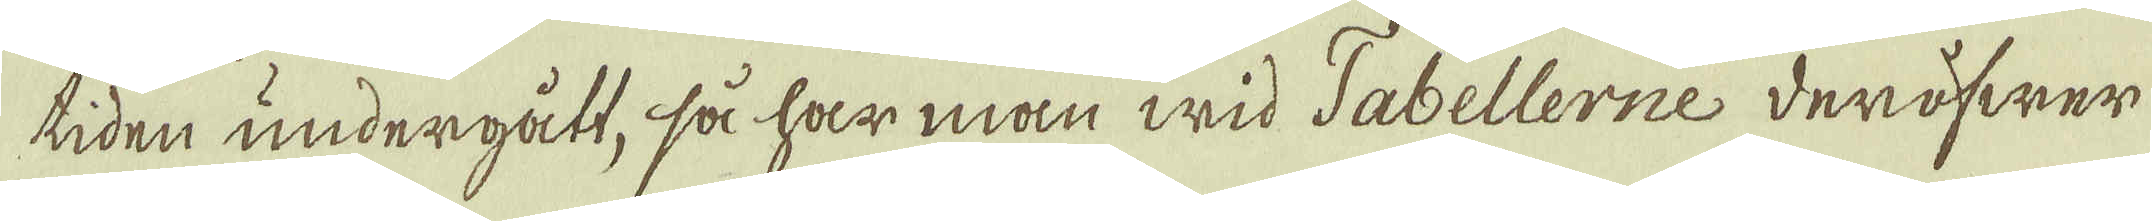tiden undergått, så har man wid Tabellerne deröfwer
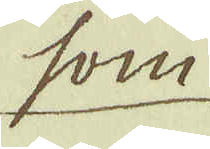som
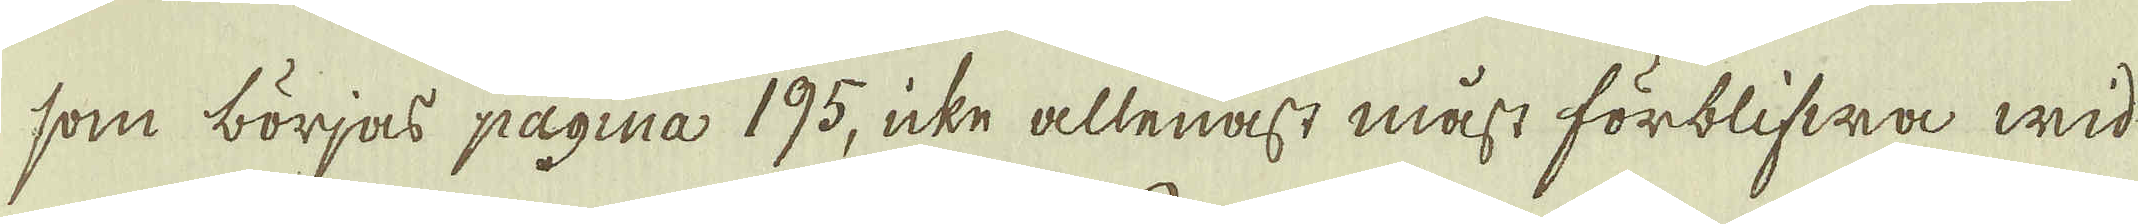som börjas pagina 195, icke allenast måst förblifwa wid
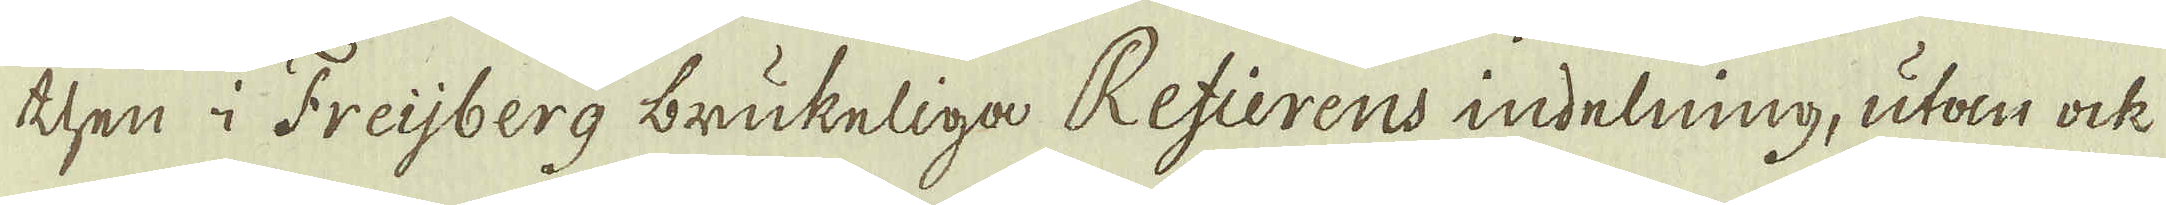then i Freijberg brukeliga Refierens indelning, utan ock
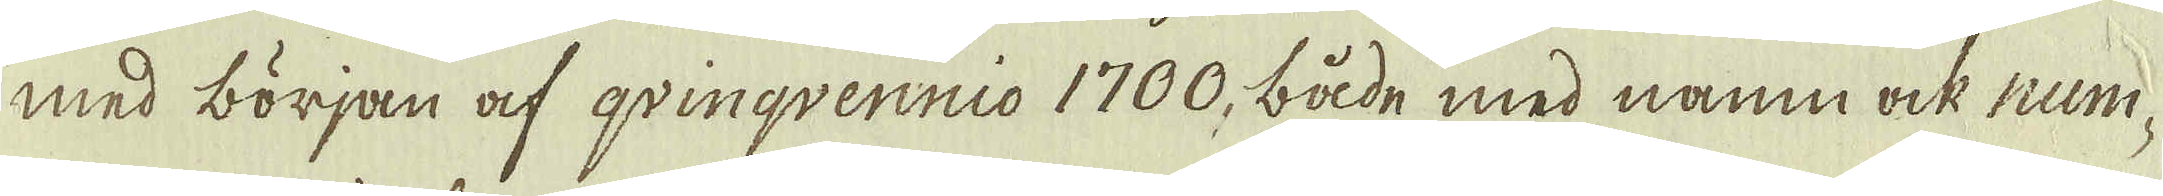med början af qvinqvernnio 1700, både med namn ock num-
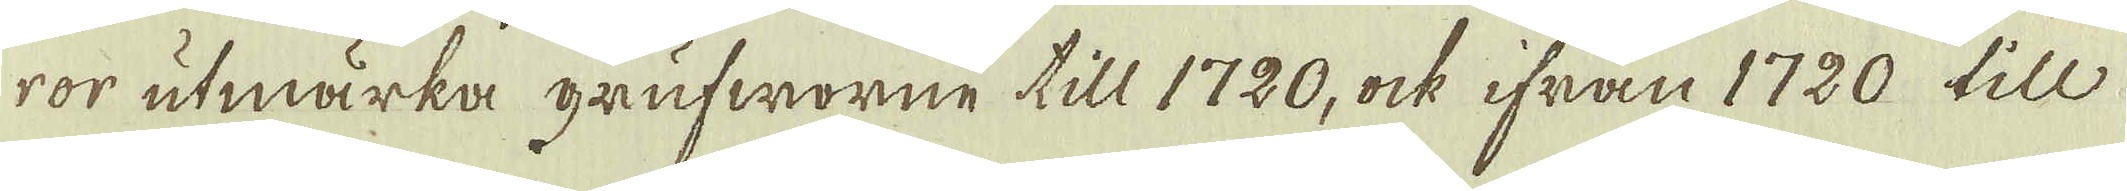ror utmärka grufworne till 1720, ock ifrån 1720 till
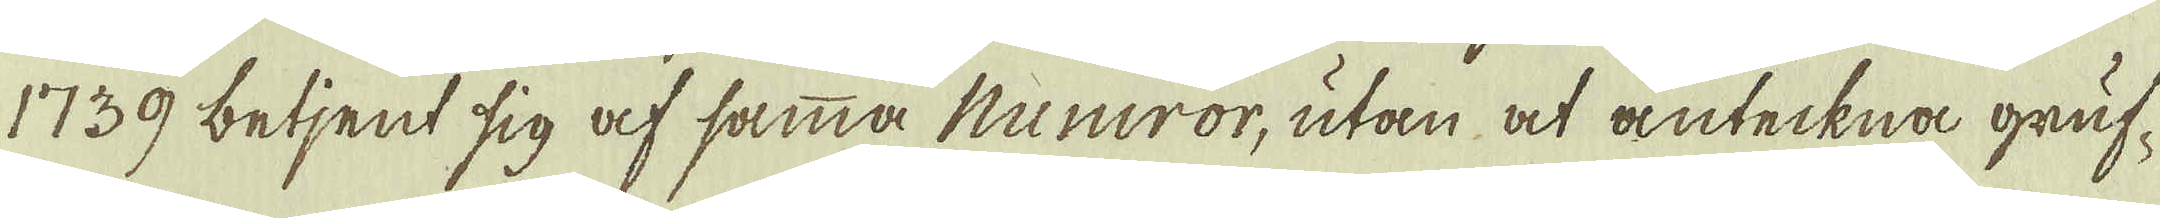1739 betjent sig af samma numror, utan at anteckna gruf-
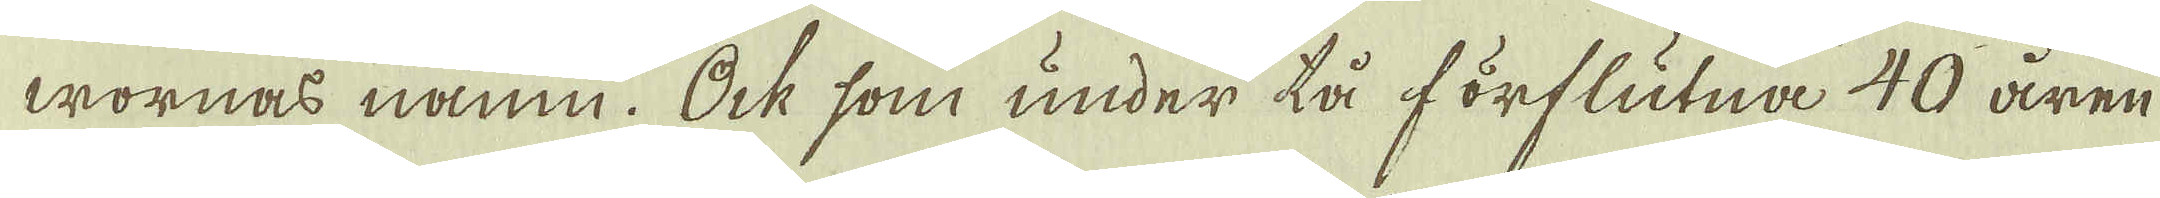wornas namn. Ock som under tå förflutna 40 åren
